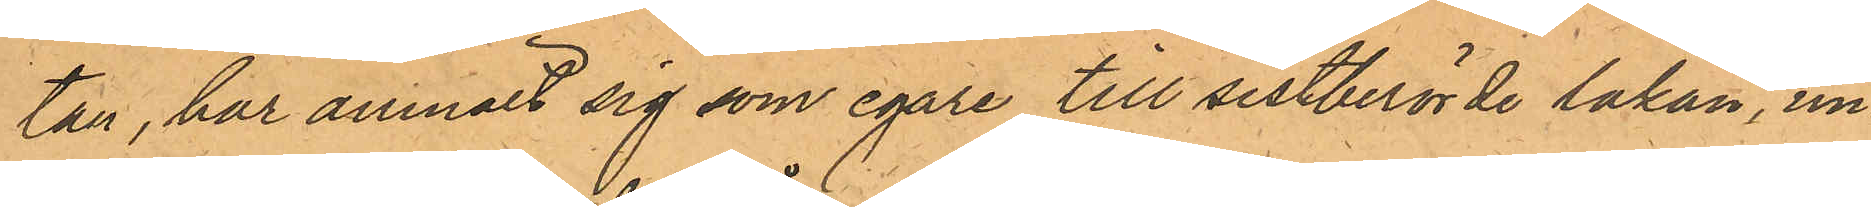tan, har anmält sig som egare till sistberörde lakan, un¬
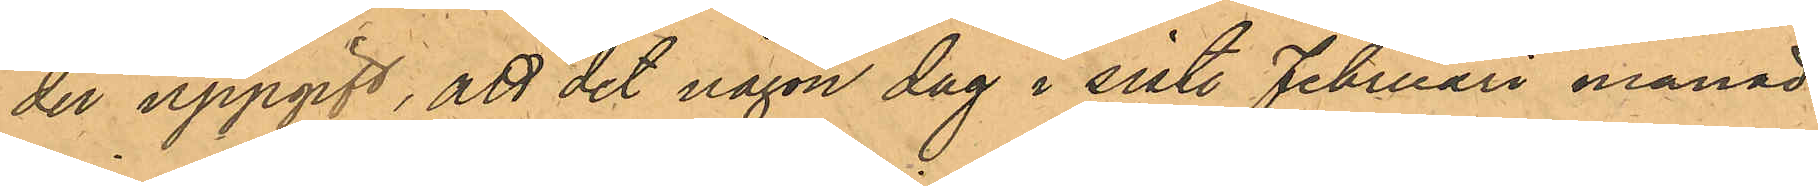der uppgift, att det någon dag i sistl. Februari månad
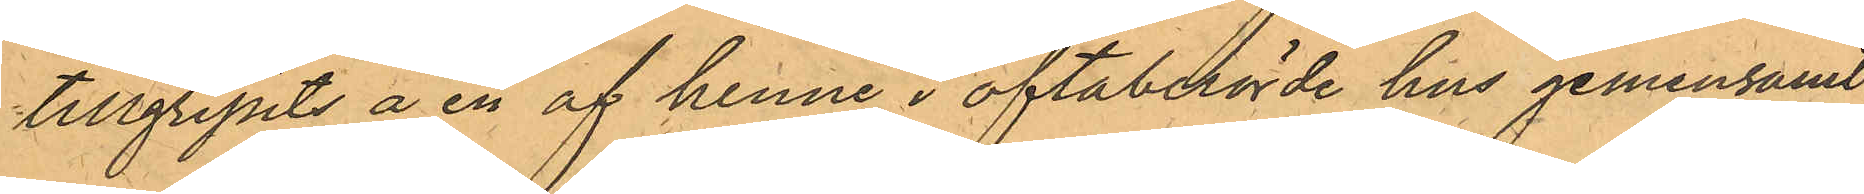tillgripits å en af henne i oftaberörde hus gemensamt
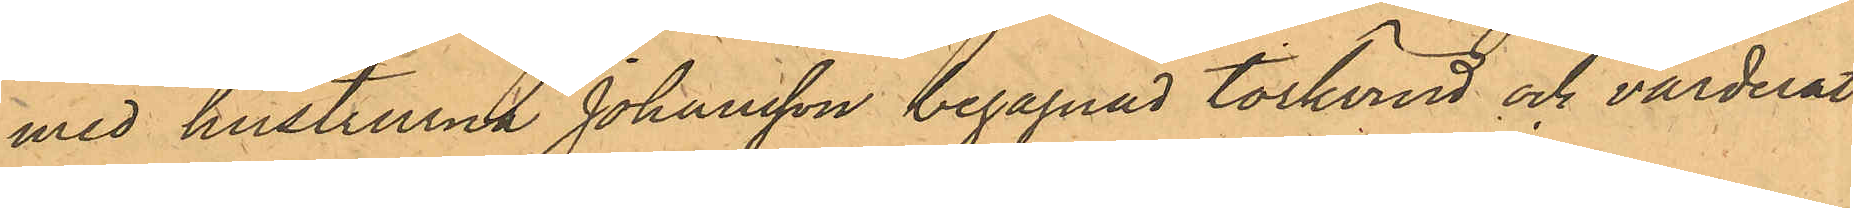med hustrurna Johansson begagnad torkvind och värderat 
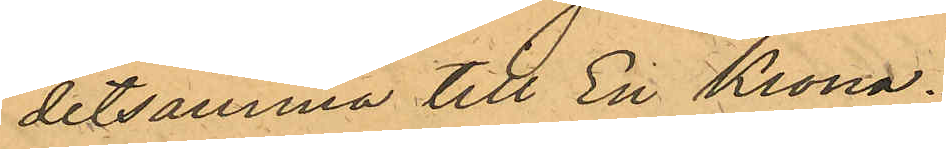detsamma till En Krona.
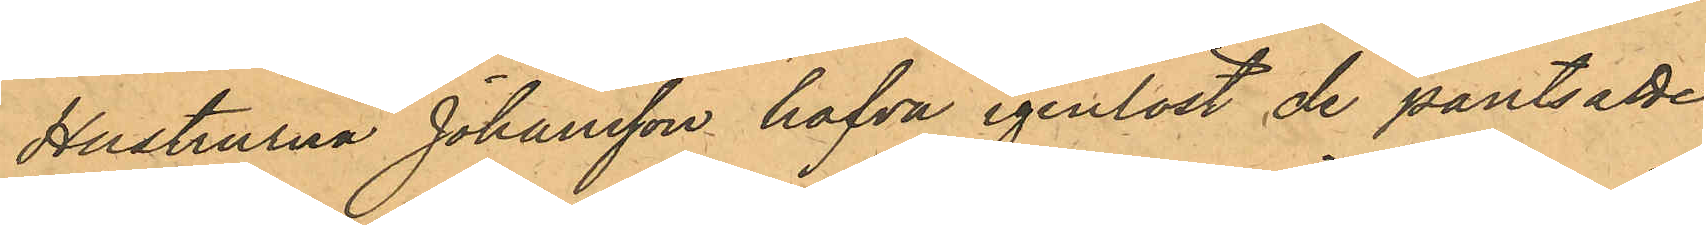Hustrurna Johansson hafva igenlöst de pantsatte
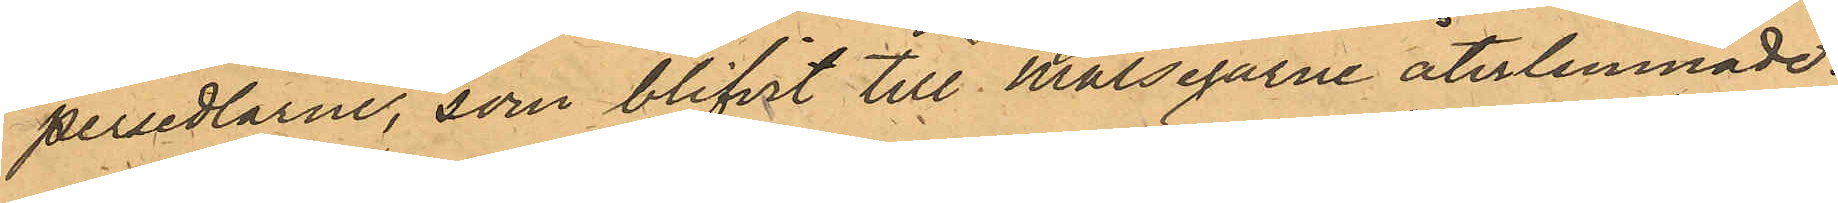persedlarne, som blifvit till Målegarne återlemnade.
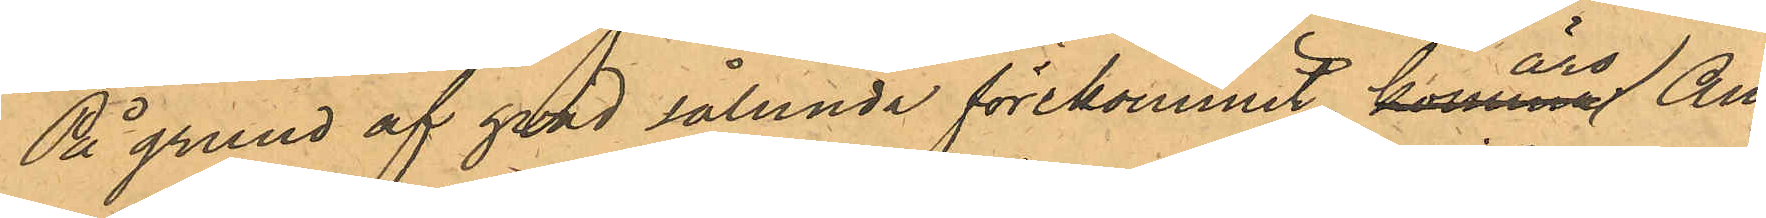På grund af hvad sålunda förkommit äro An¬
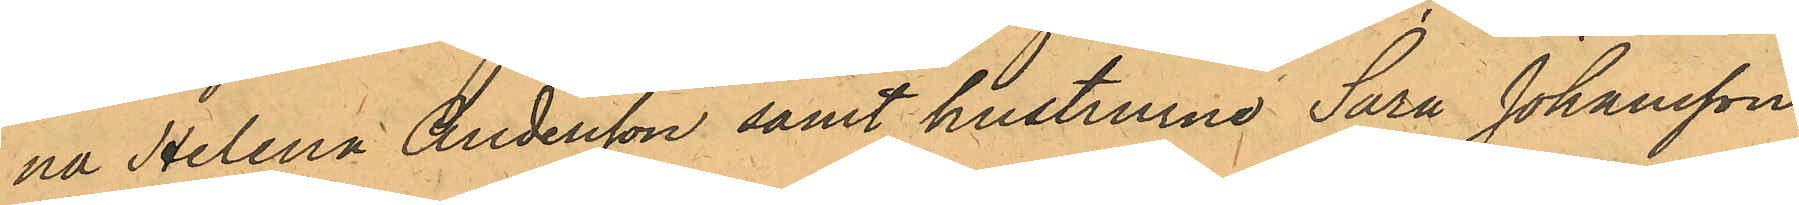na Helena Andersson samt hustrurne Sara Johansson
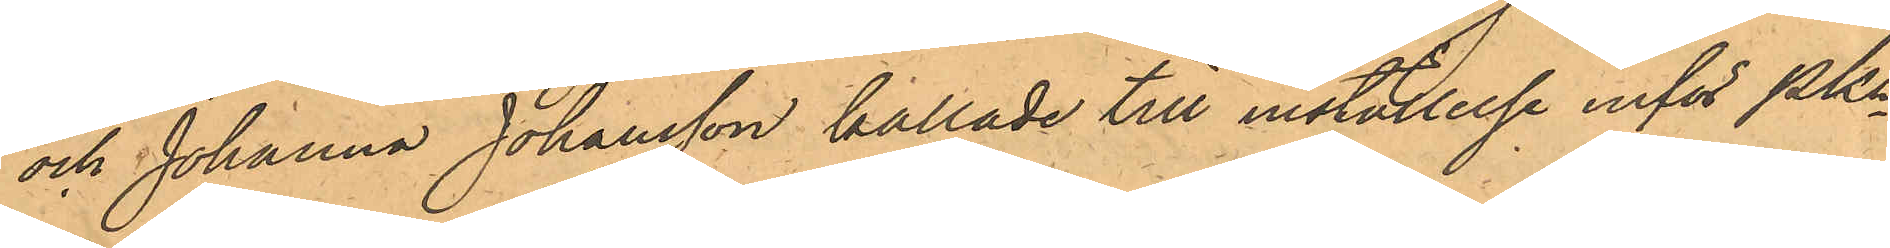och Johanna Johansson kallade till inställelse inför PKn
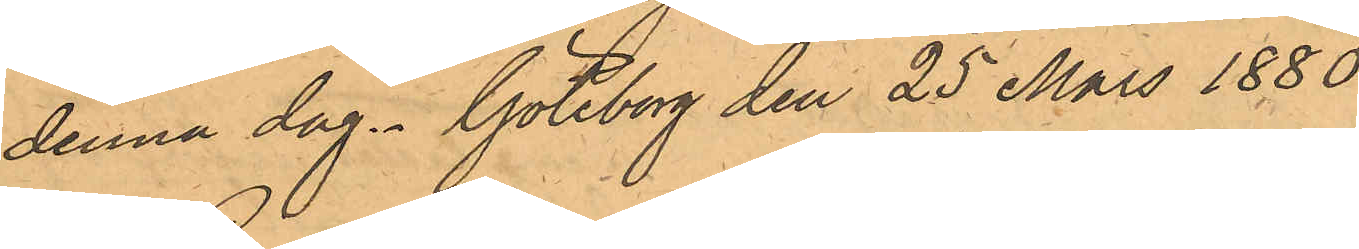denna dag. Göteborg den 25 Mars 1880.
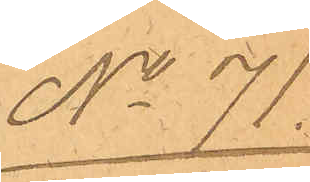No 71.
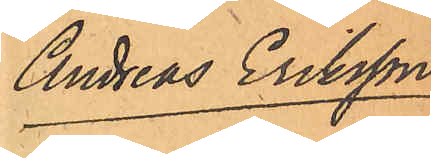Andreas Eriksson
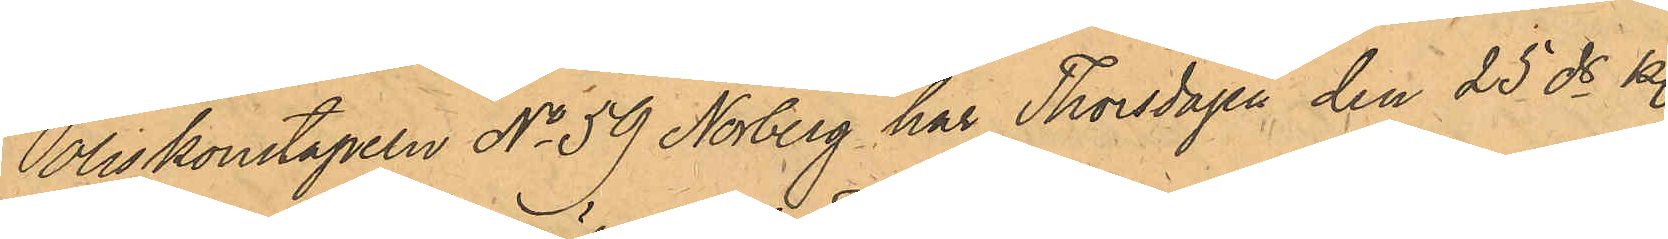Poliskonstapeln No 59 Norberg har Thorsdagen den 25 ds kl.
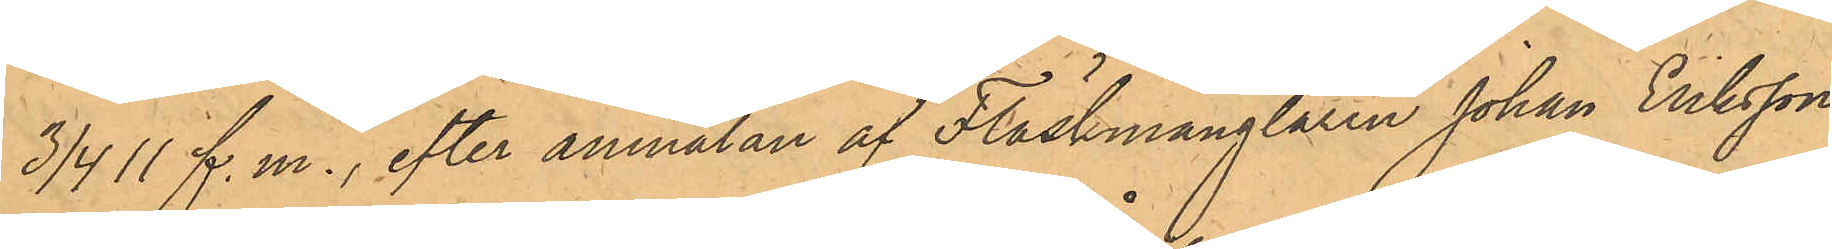3/4 11 f.m., efter anmälan af Fläskmånglaren Johan Eriksson,
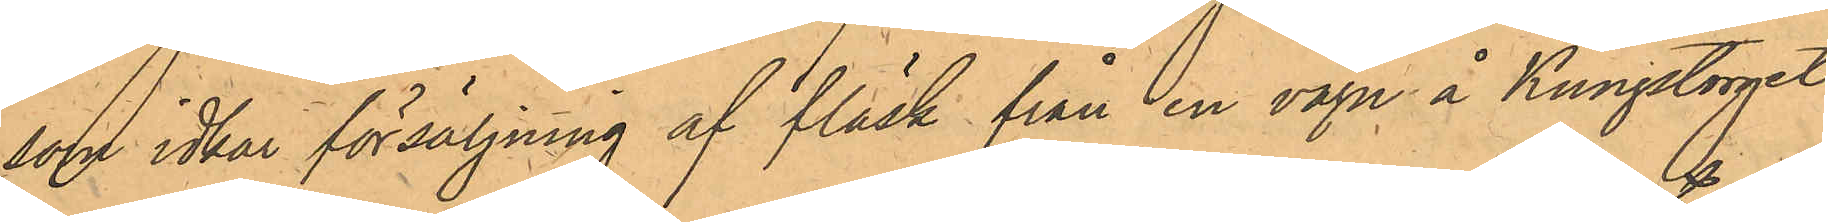som idkar försäljning af fläsk från en vagn å Kungstorget,
